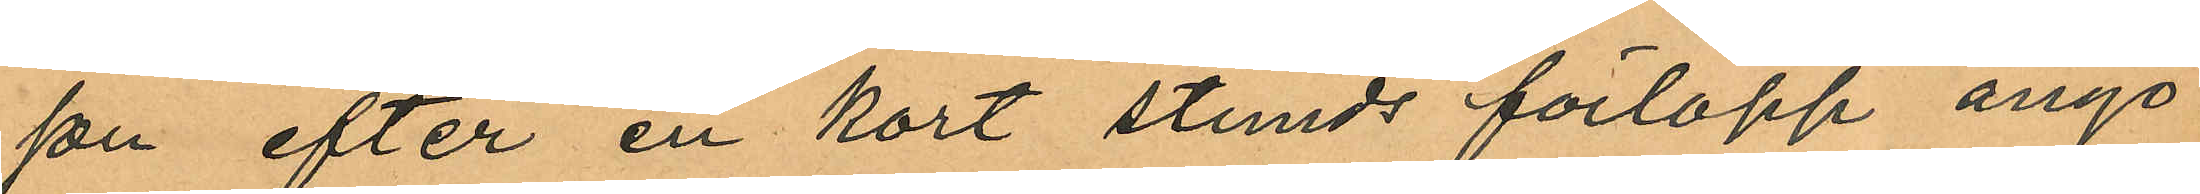son efter en kort stunds förlopp ånyo
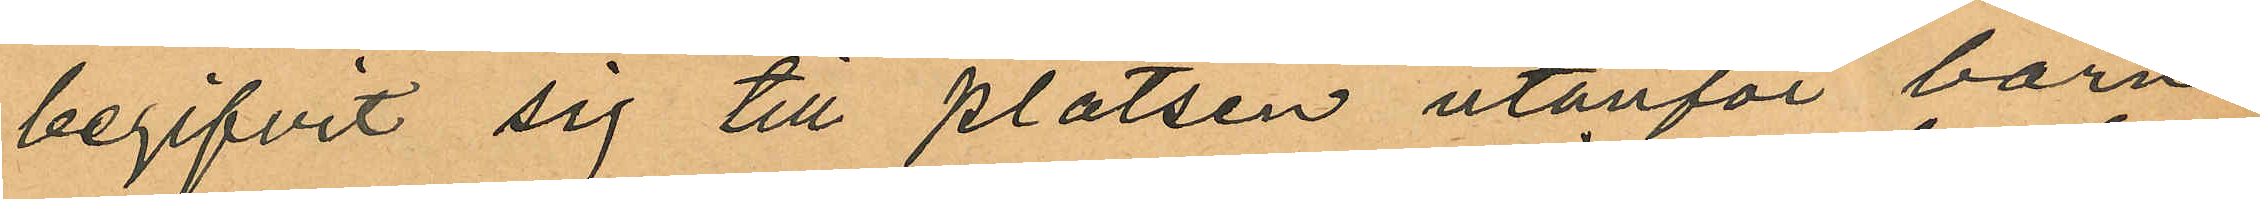begifvit sig till platsen utanför barn¬
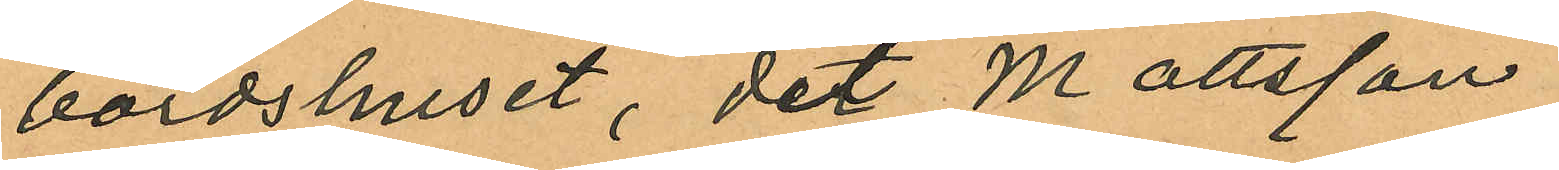bördshuset, dit Mattsson
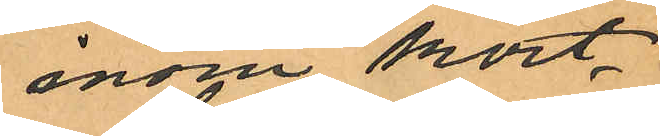inom kort
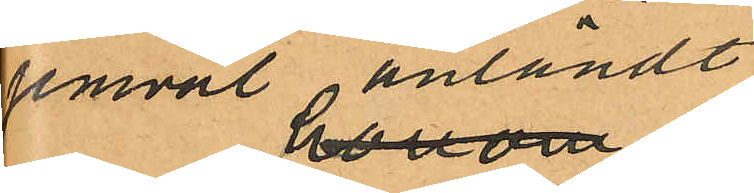jemväl anländt
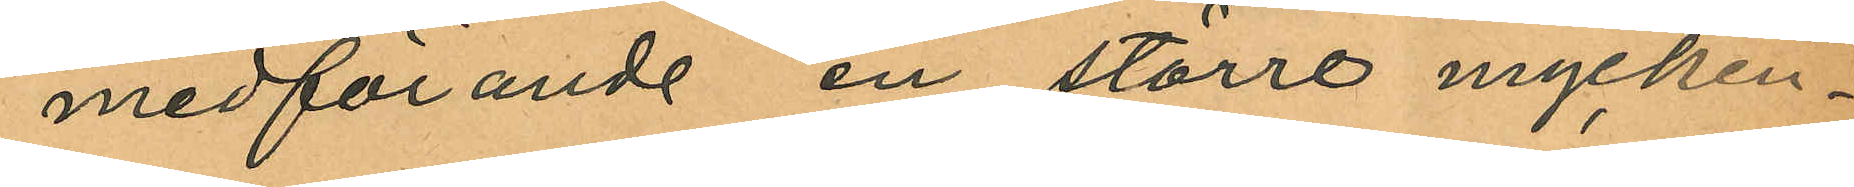medförande en större mycken¬
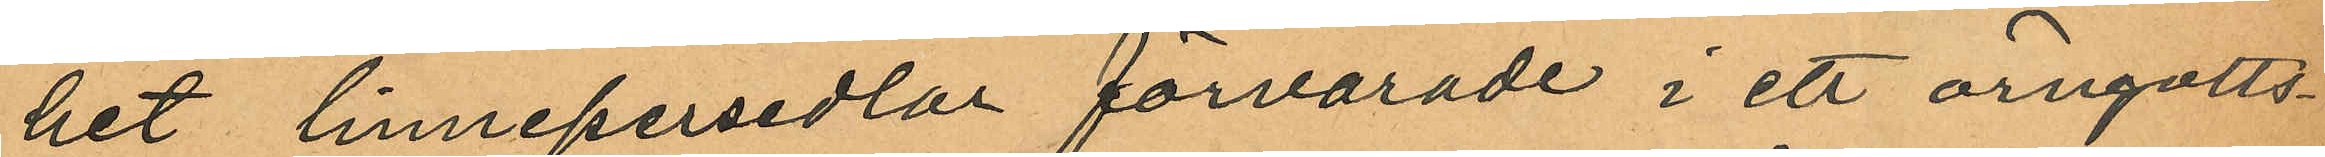het linnepersedlar förvarade i ett örngotts¬
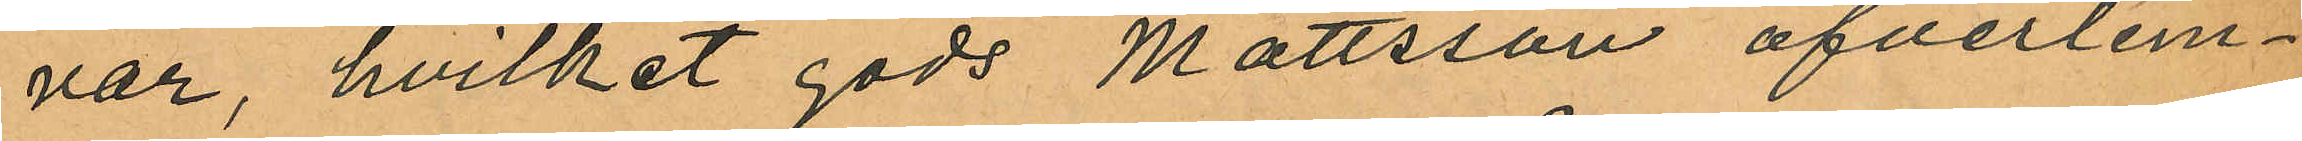var, hvilket gods Mattsson öfverlem¬
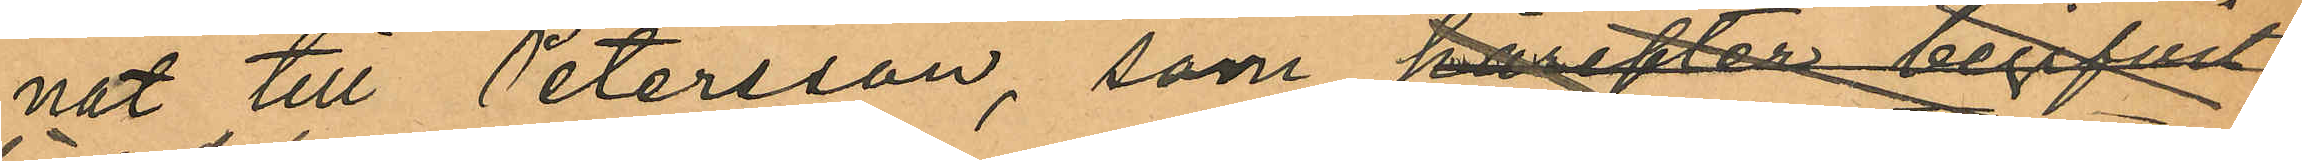nat till Petersson, som härefter begifvit
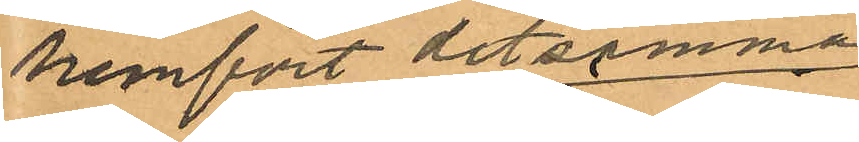hemfört detsamma
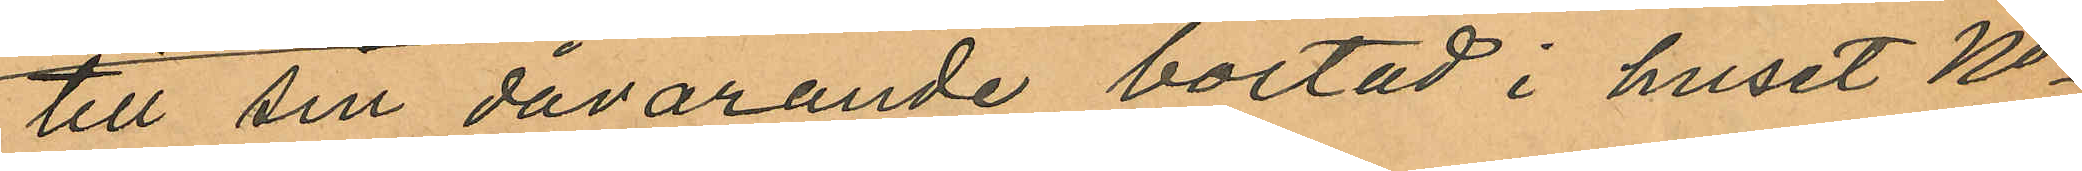till sin dåvarande bostad i huset No
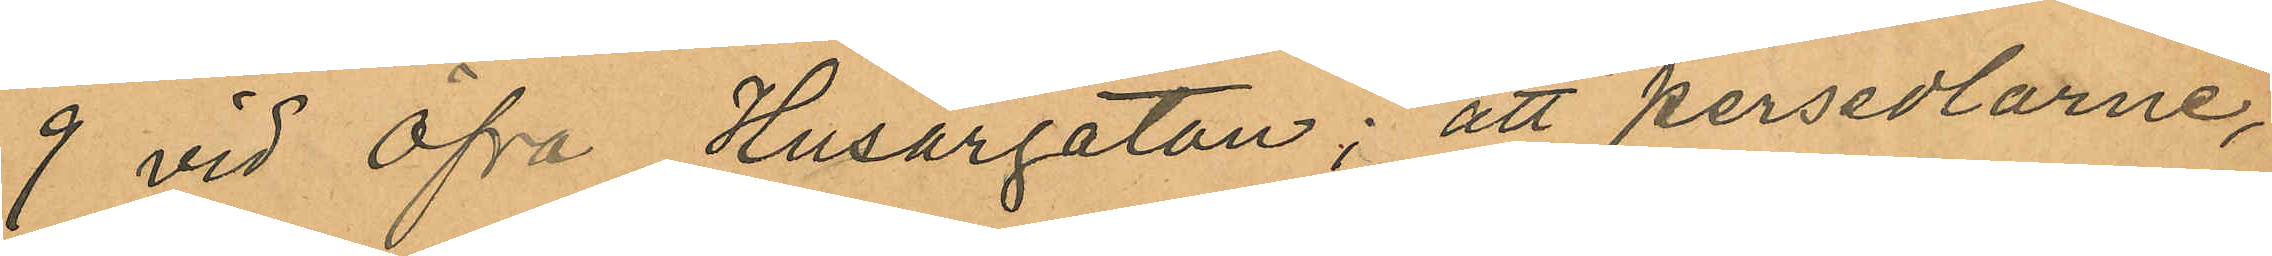9 vid Öfra Husargatan; att persedlarne,
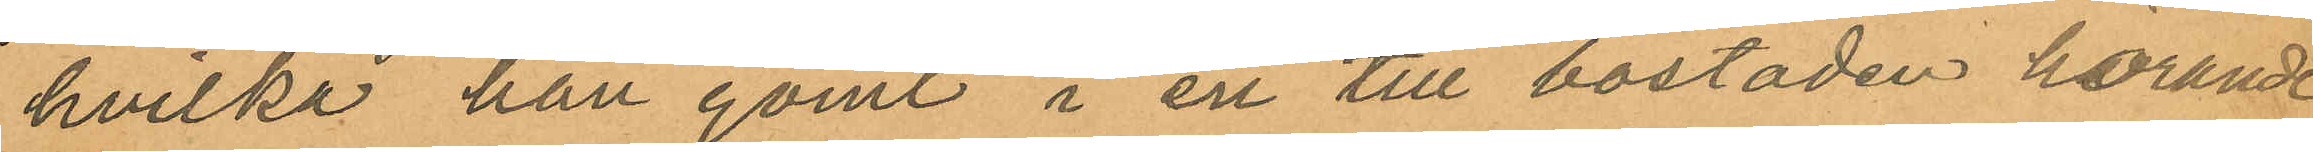hvilka han gömt i en till bostaden hörande
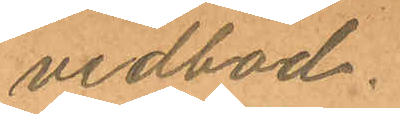vedbod.
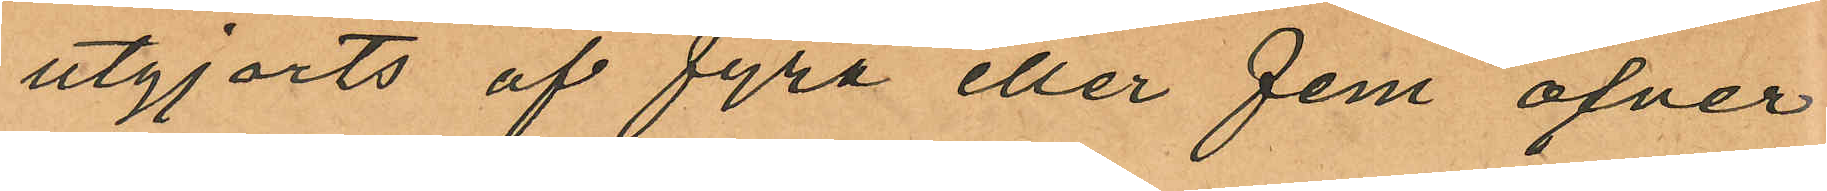utgjorts af fyra eller fem öfver
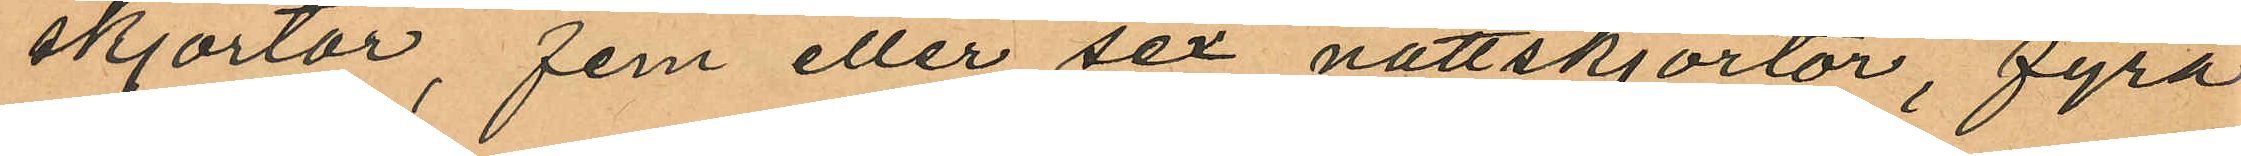skjortor, fem eller sex nattskjortor, fyra
